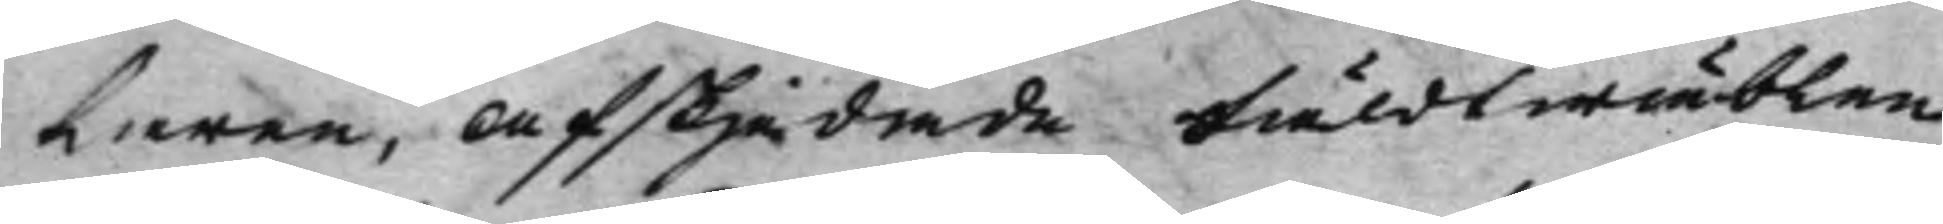laren, afskjedade Fäldtwäblen
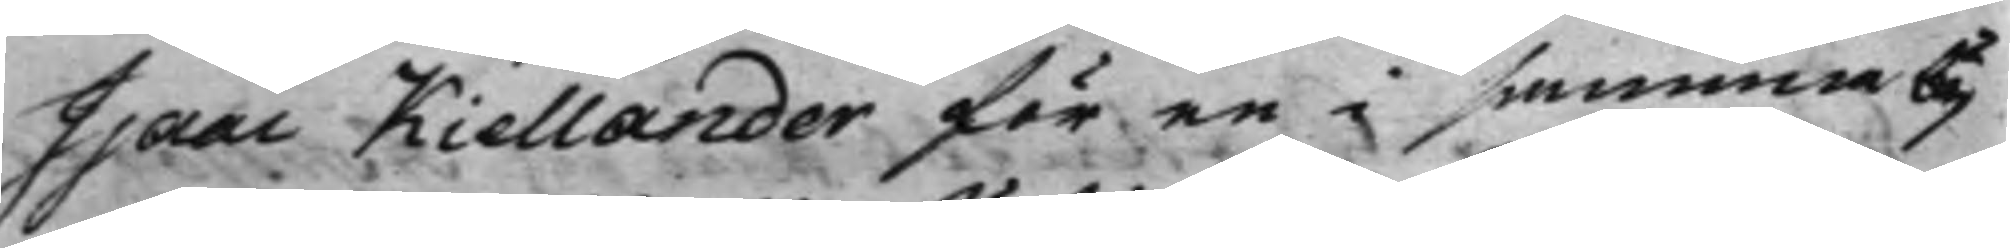Isaac Kiellander för en i samma by
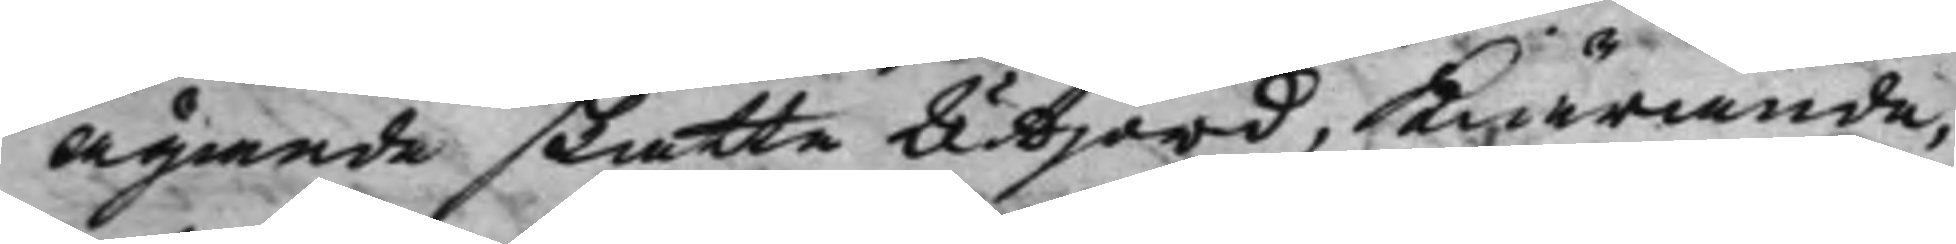ägande skatte Utjord, Kiärande,
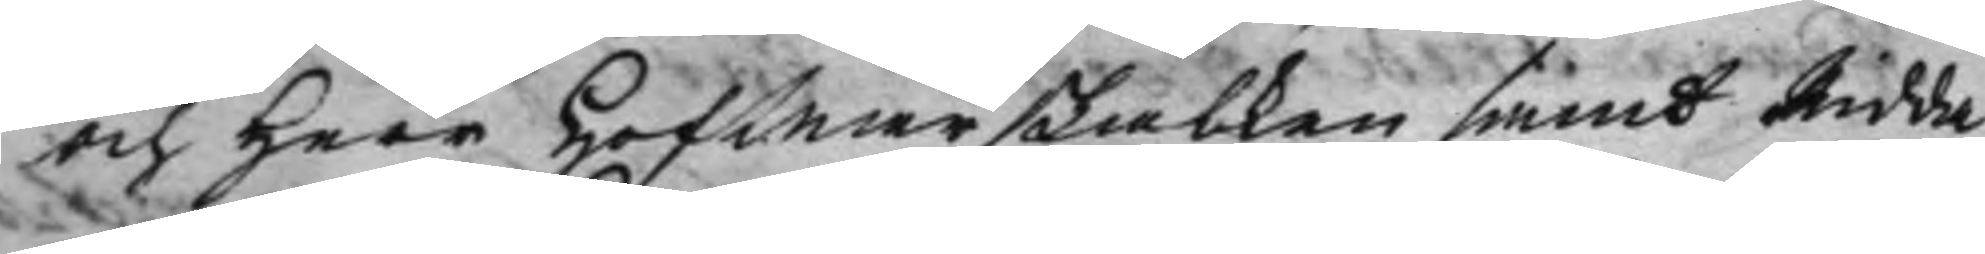och Herr HofMarskalken samt Ridda¬
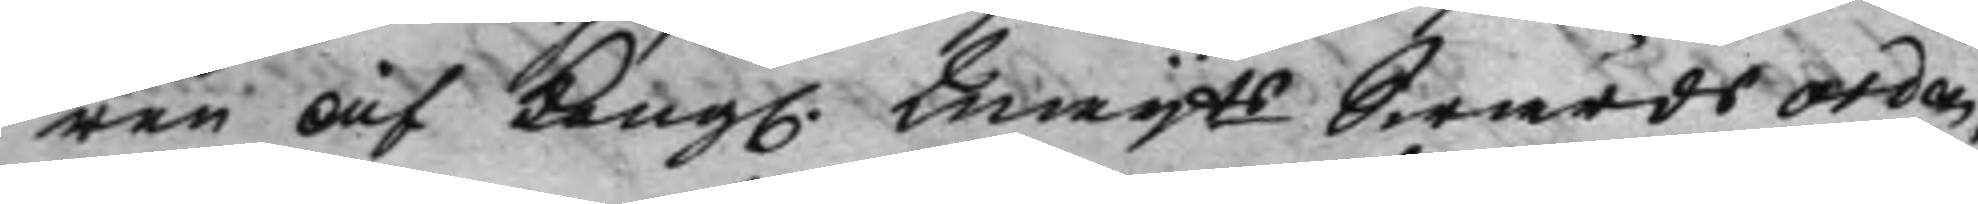ren af Kong. Maijts Swärds Orden
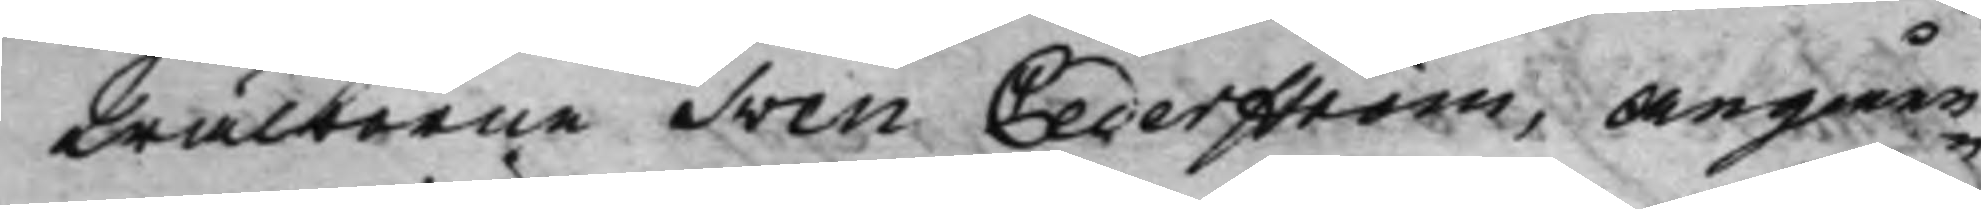Wälborne Sven Cederström, angåen¬
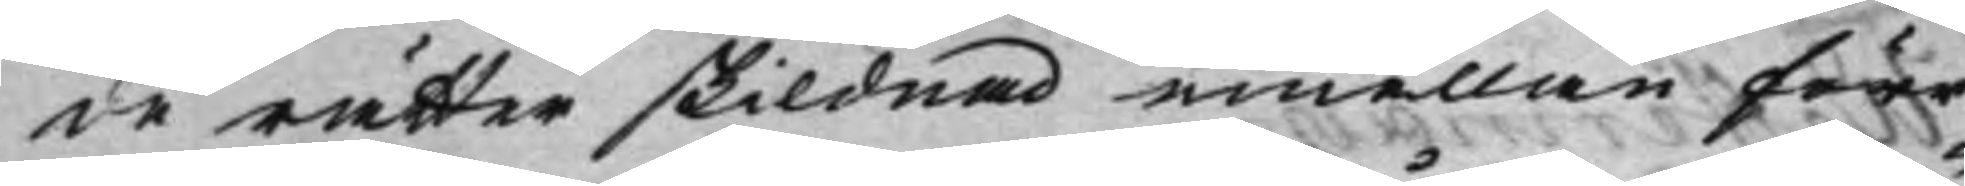de rätter skildnad emellan förr
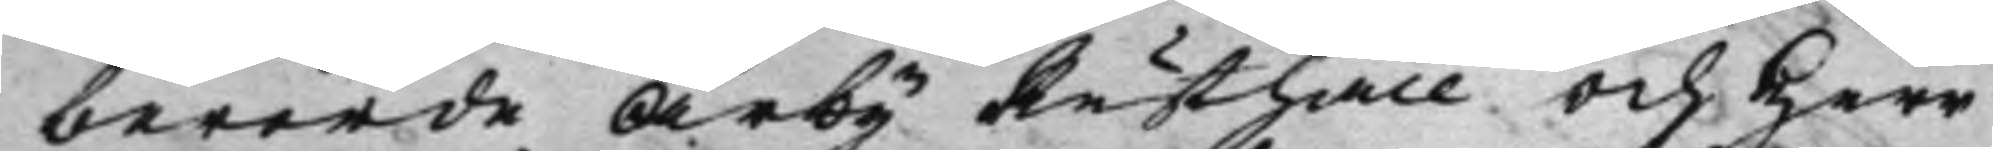berörde Årby Rusthåll, och Herr
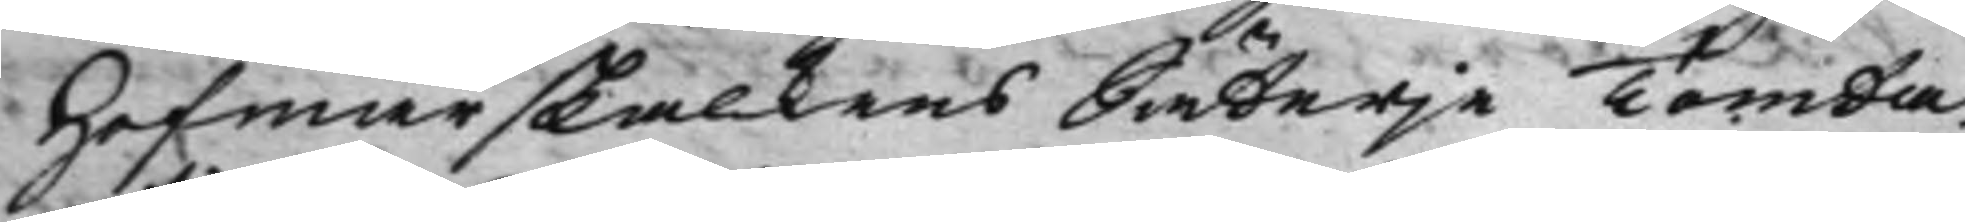Hofmarskalkens Säterje Tomta.
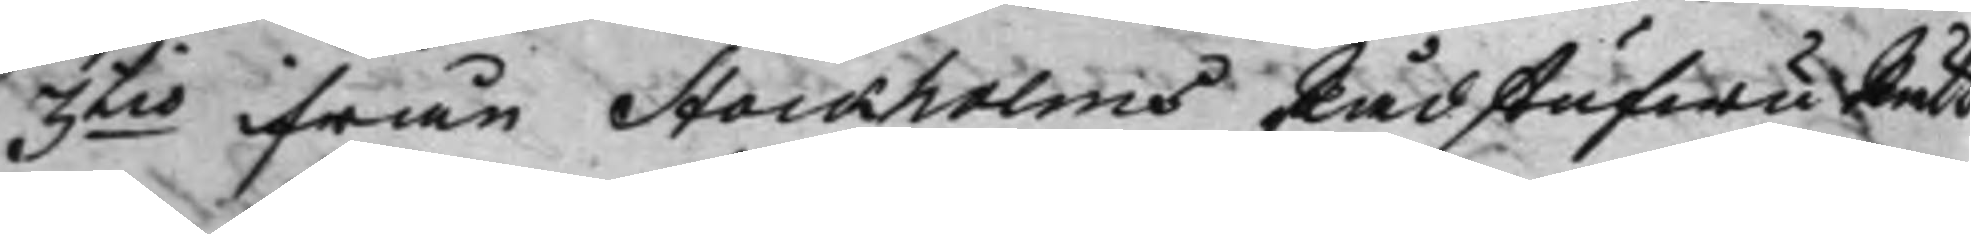3tio ifrån Stockholms Rådstufwu Rätt
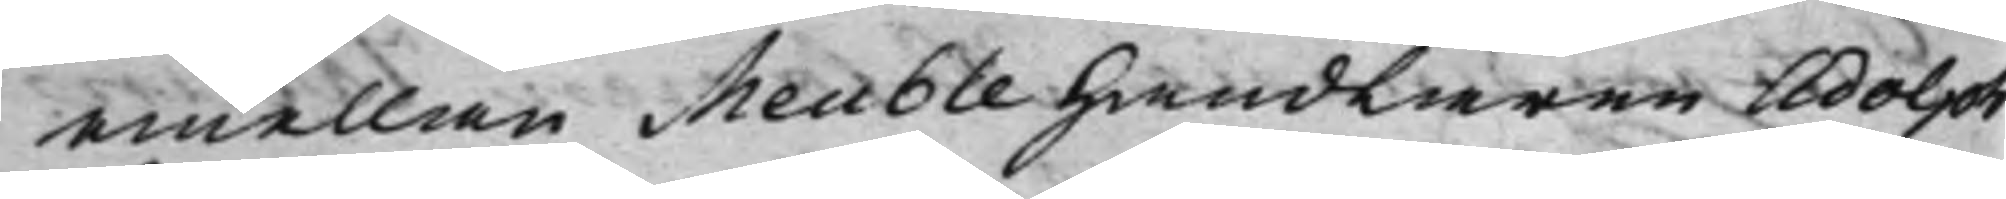emellan Meuble Handlaren Adolph
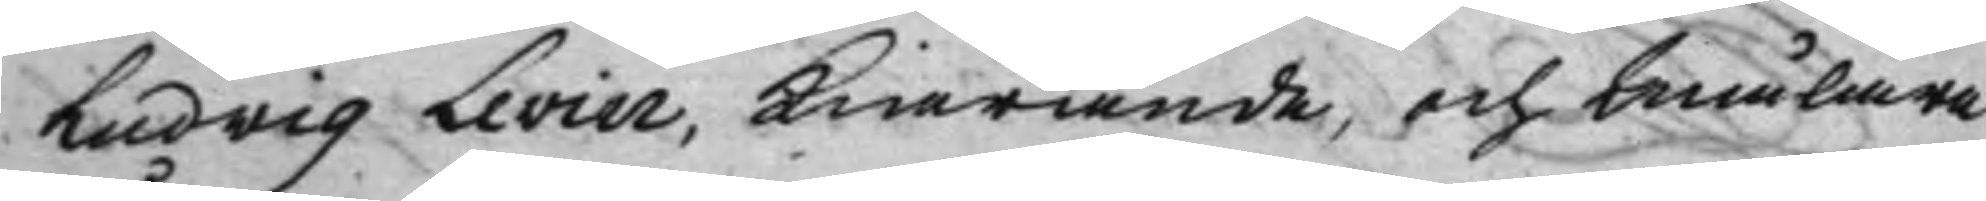Ludvig Levin, Kiärande, och Målare
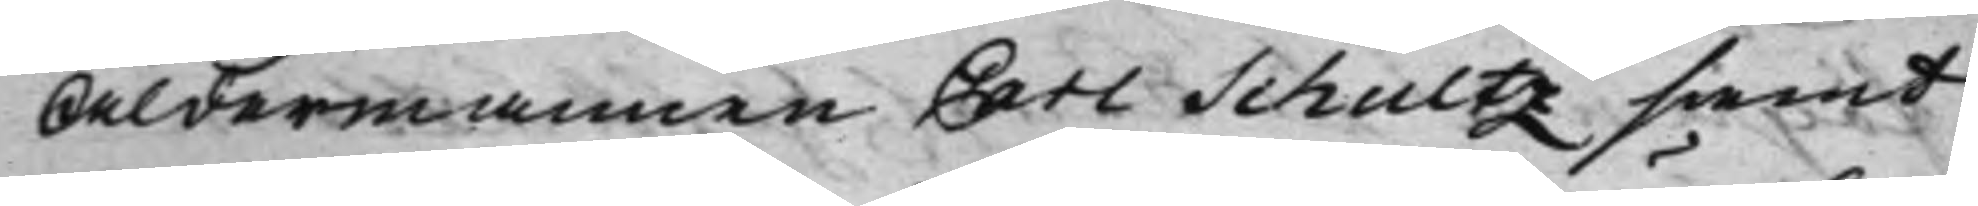Åldermannen Carl Schultz samt
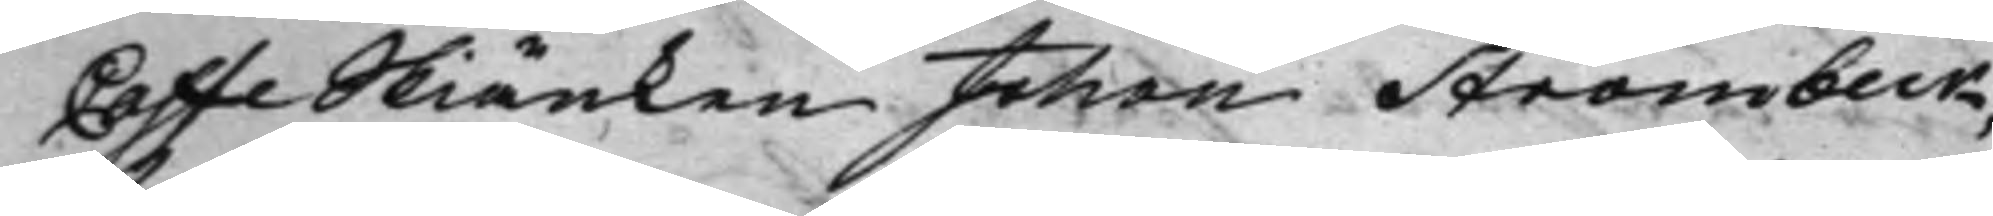CaffeSkiänken Johan Strömbeck,
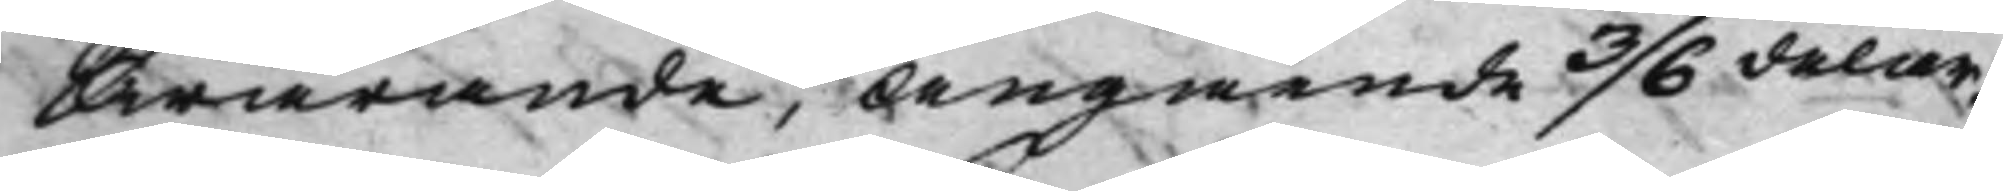Swarande, Angående 3/6 delar,
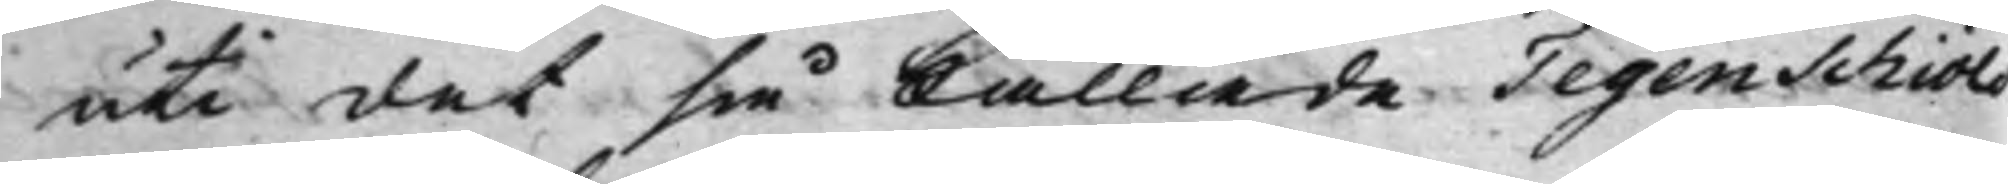uti det så kallade Tegenschiöld¬
